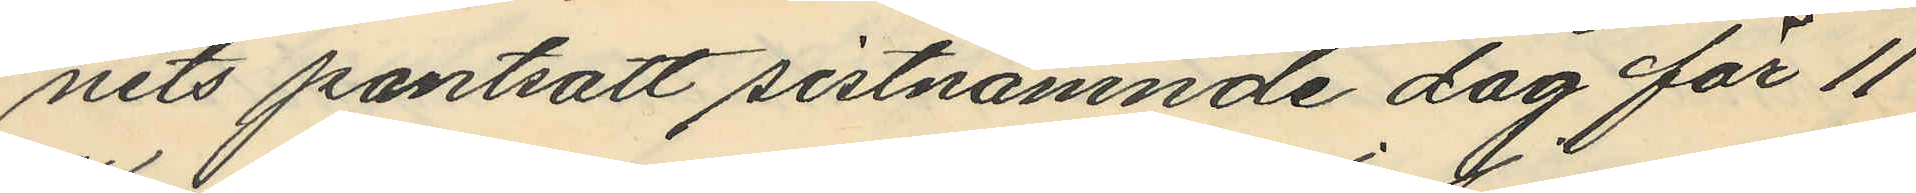nits pantsatt sistnämnde dag för 11
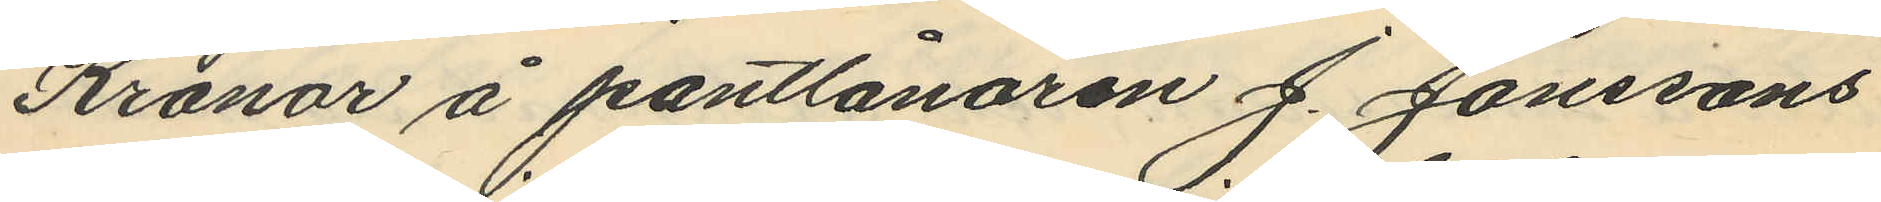Kronor å pantlånaren J. Janssons
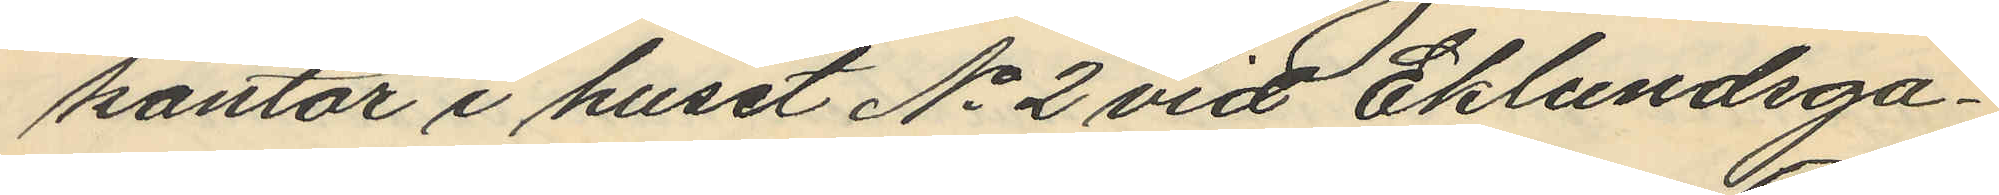kontor i huset No 2 vid Eklundsga¬
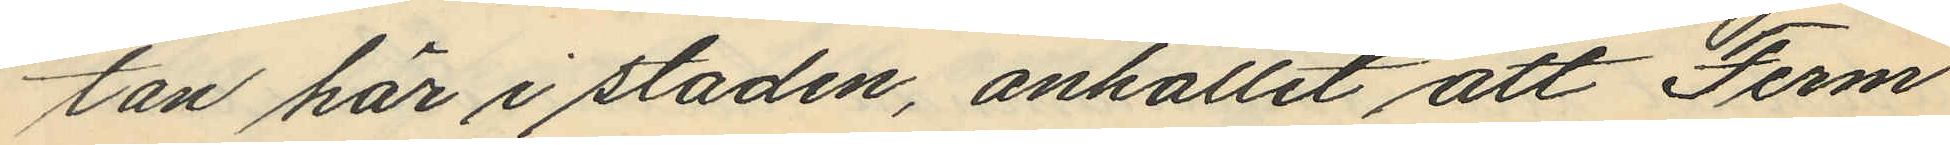tan här i staden, anhållit att Ferm
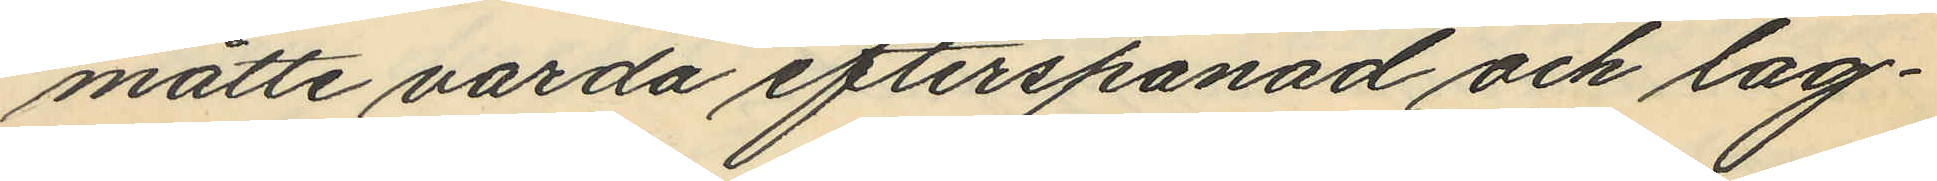måtte värda efterspanad och lag¬
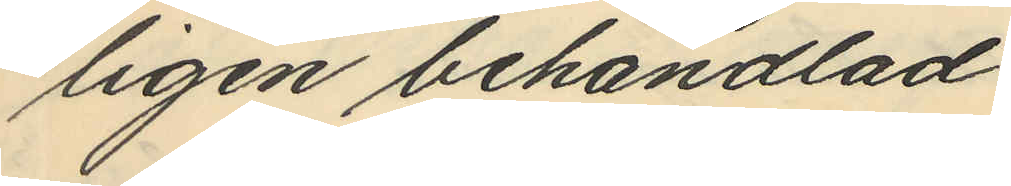ligen behandlad.
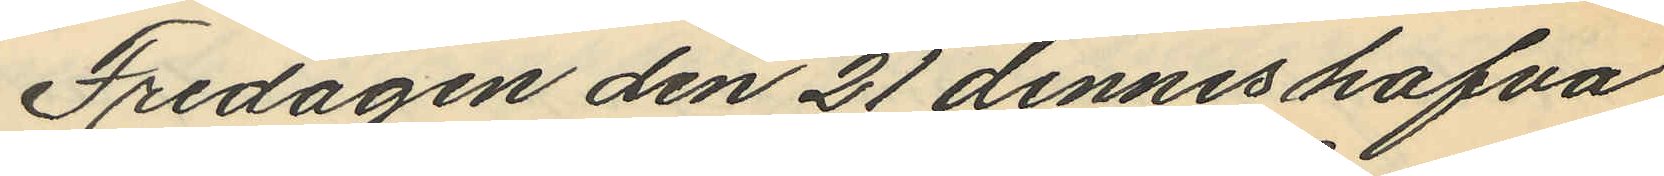Fredagen den 21 dennes hafva
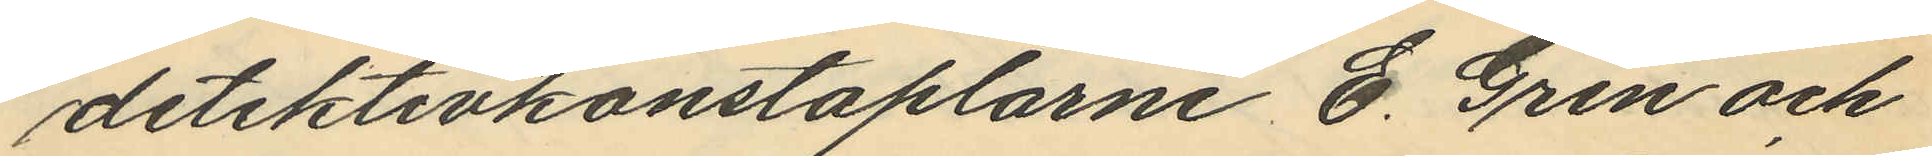detektivkonstaplarne E. Gren och
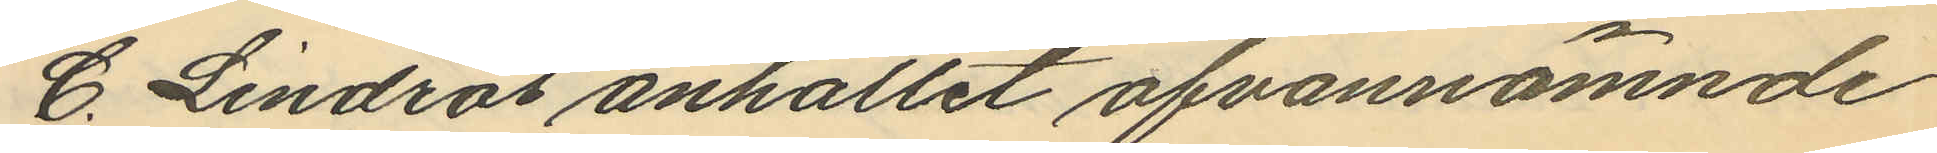G. Lindros anhållit ofvannämnde
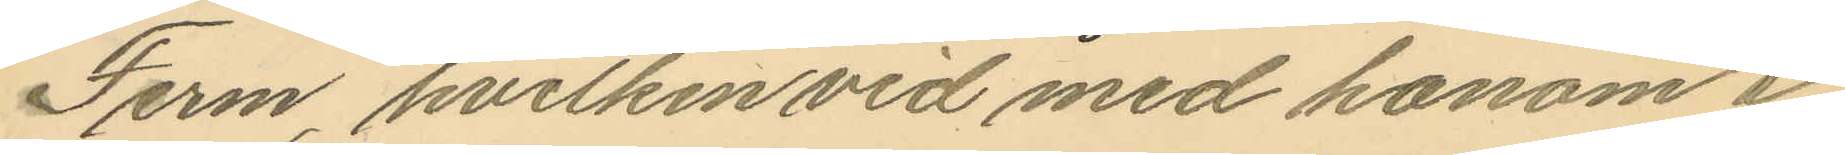Ferm, hvilken vid med honom i
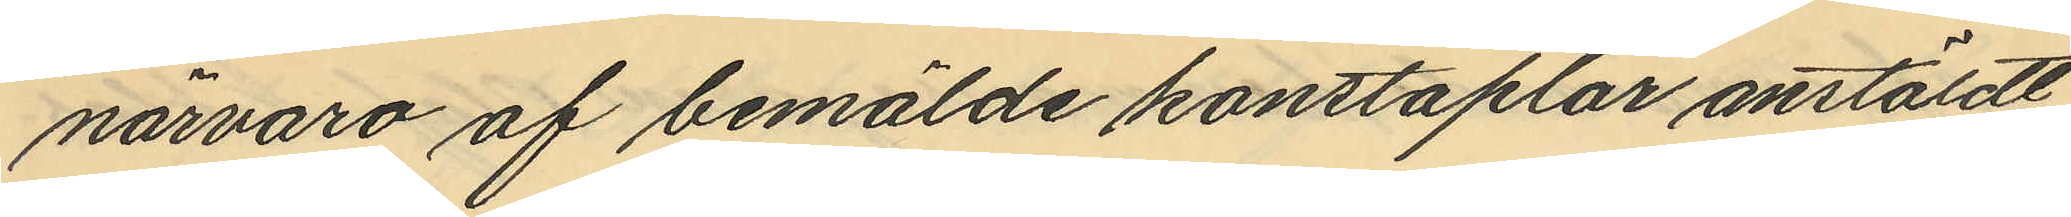närvaro af bemälde konstaplar anstäldt
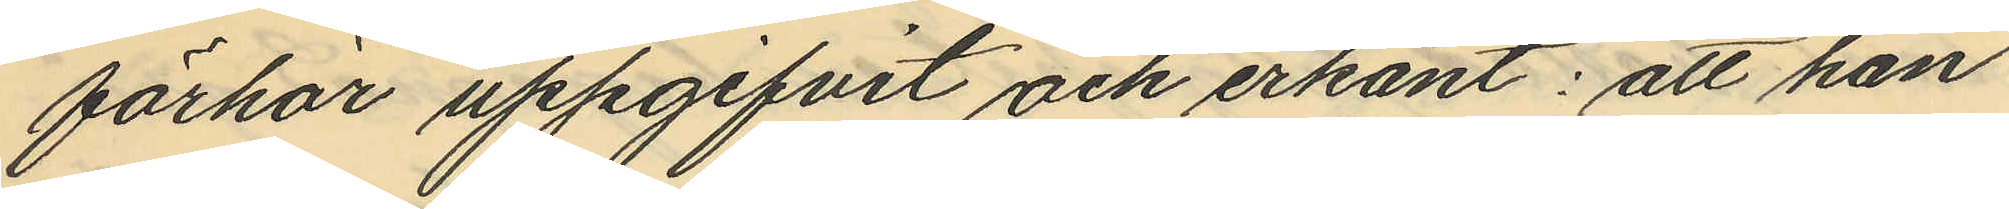förhör uppgifvit och erkänt: att han
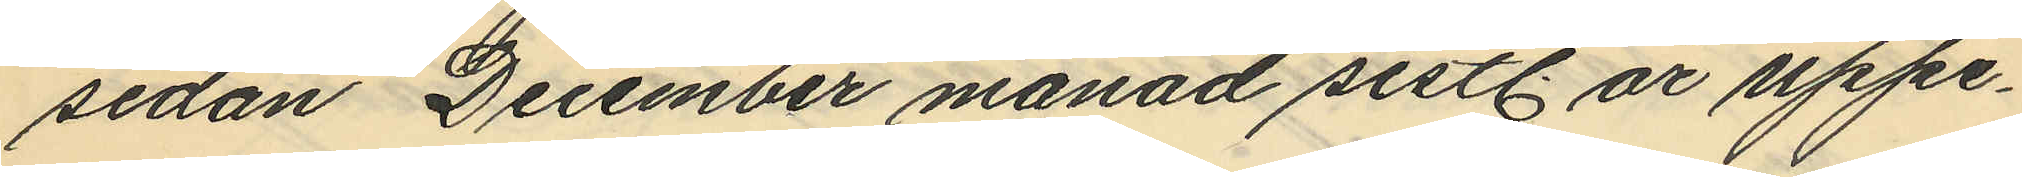sedan December månad sistl. år uppe¬
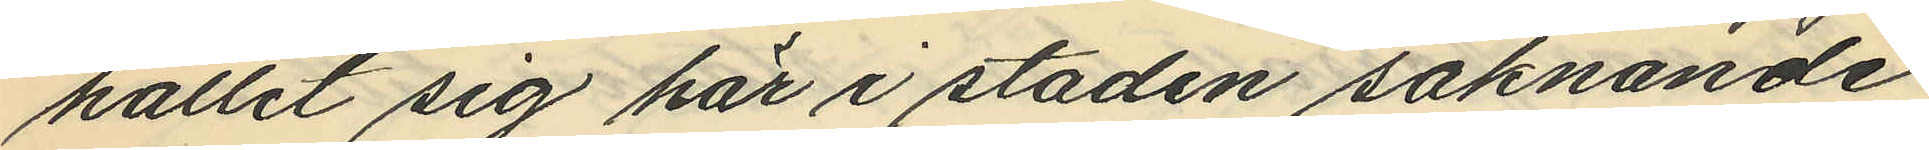hållit sig här i staden saknande
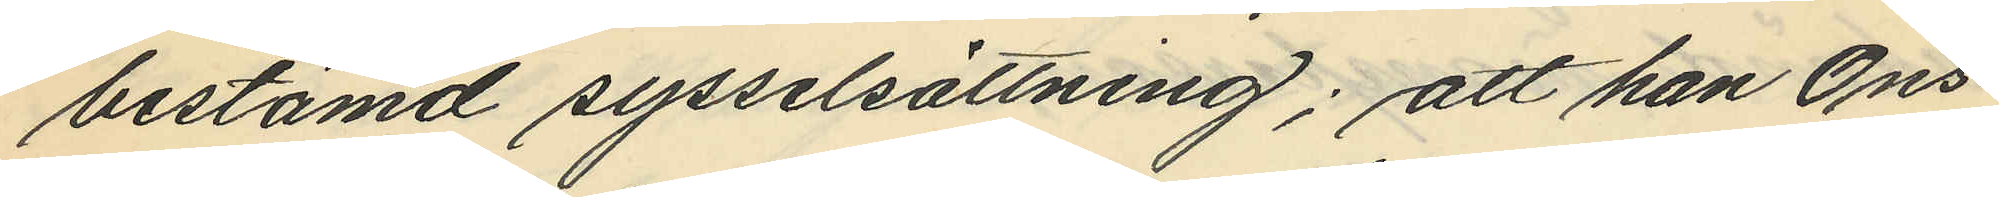bestämd sysselsättning; att han Ons¬
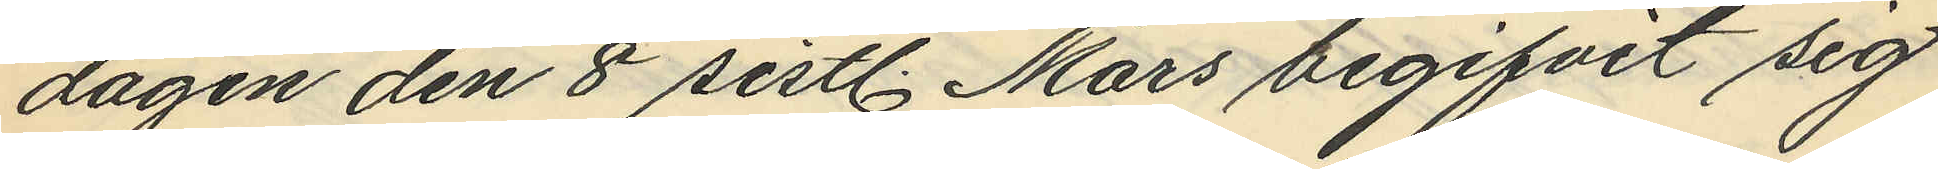dagen den 8 sistl. Mars begifvit sig
